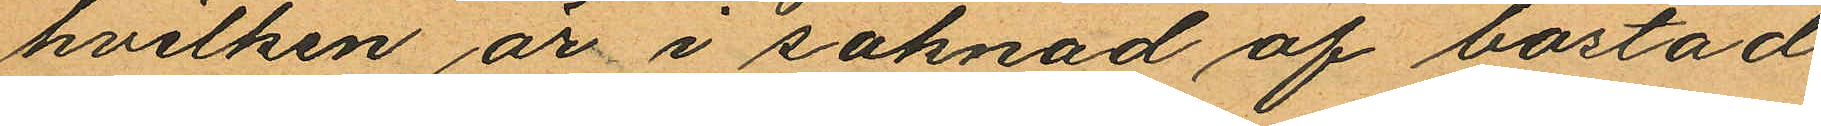hvilken är i saknad af bostad
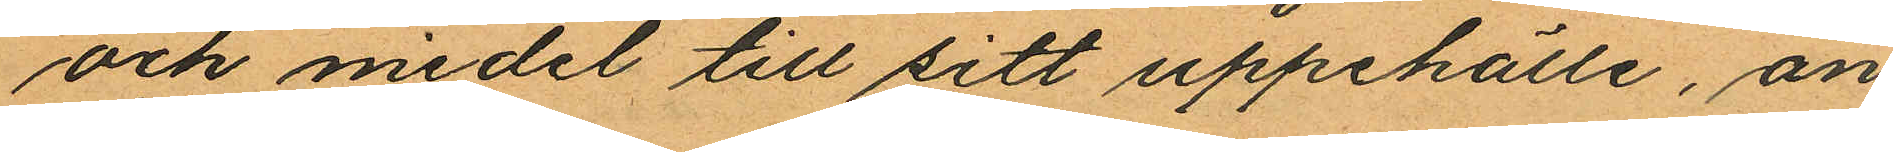och medel till sitt uppehälle, an¬
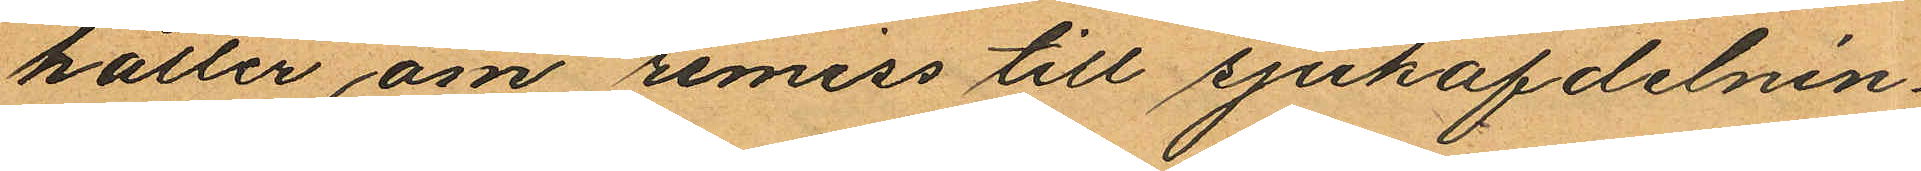håller om remiss till sjukafdelnin¬
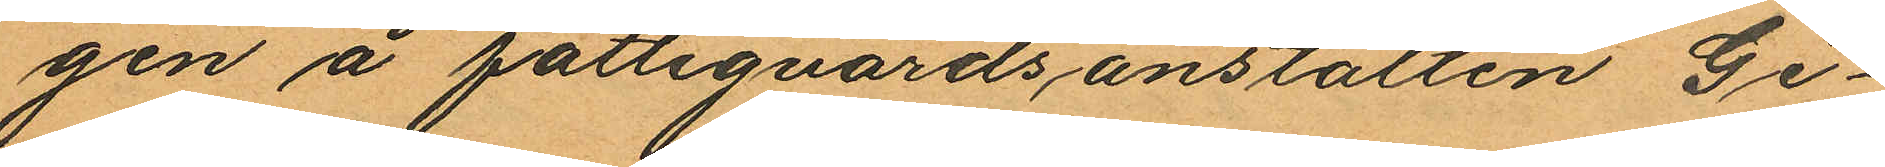gen å fattigvårdsanstalten Gi¬
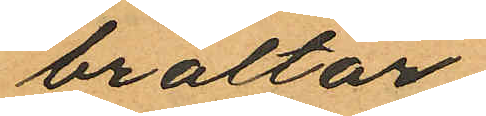braltar.
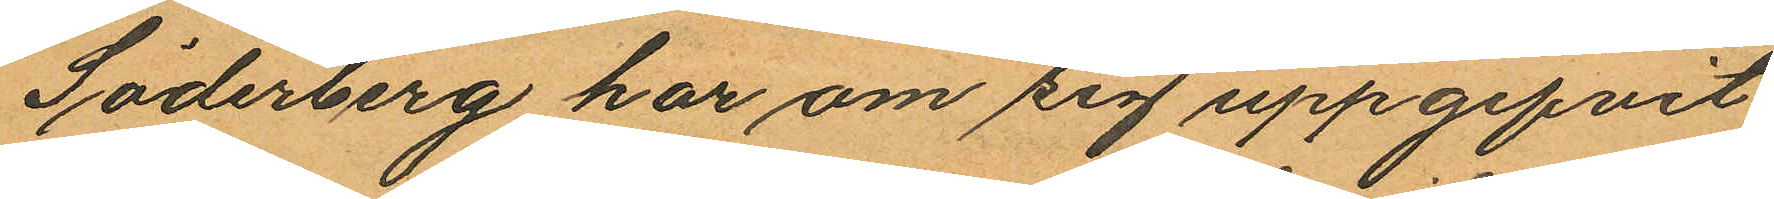Söderberg har om sig uppgifvit
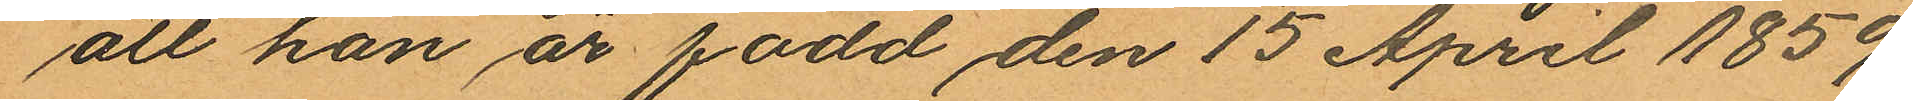att han är född den 15 April 1859
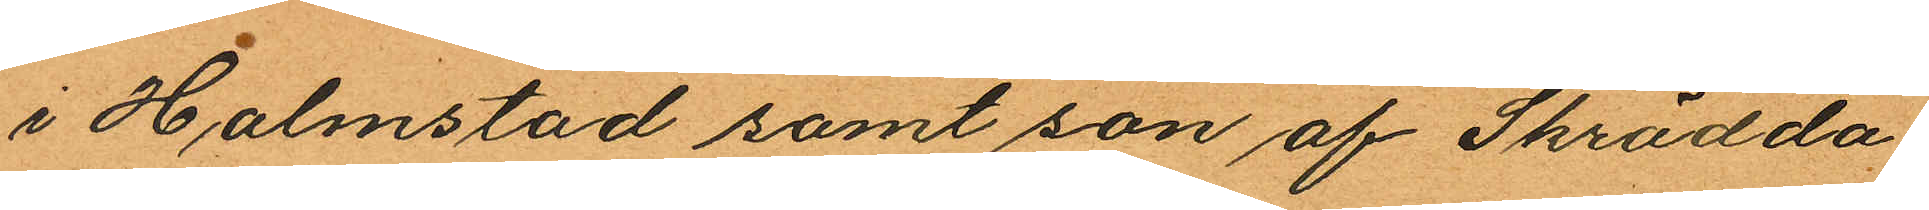i Halmstad samt son af Skrädda¬
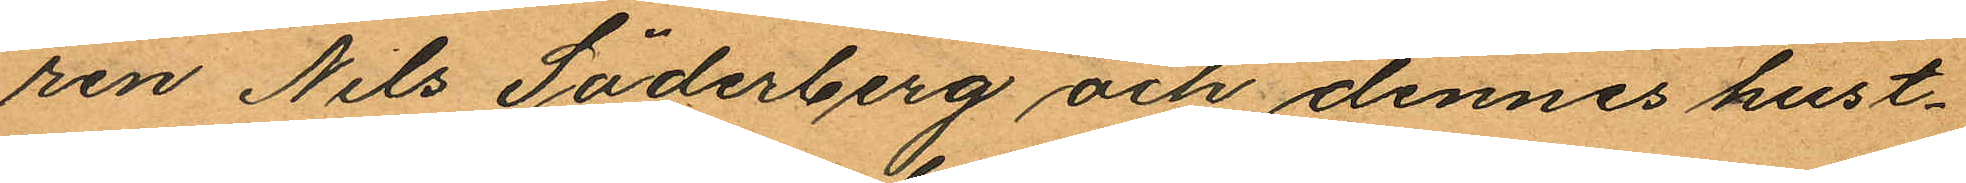ren Nils Söderberg och dennes hust¬
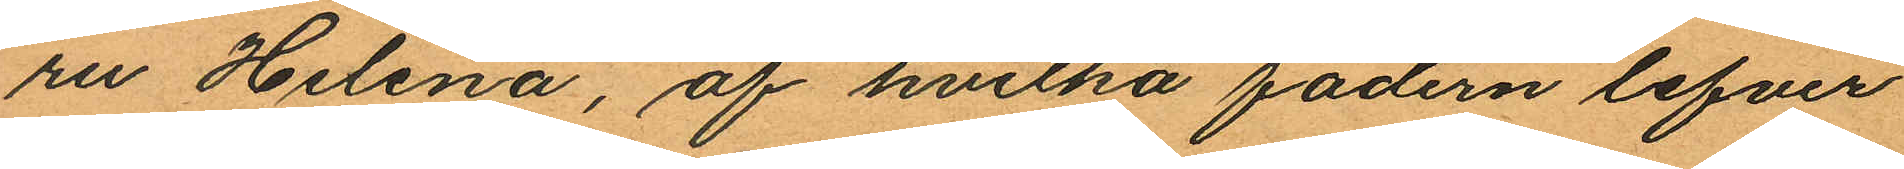ru Helena, af hvilka fadern lefver
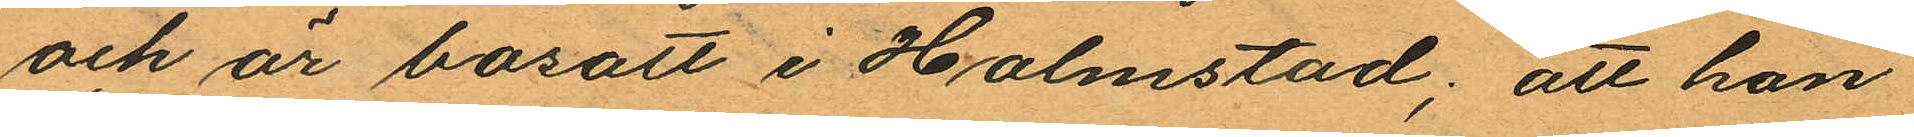och är bosatt i Halmstad; att han
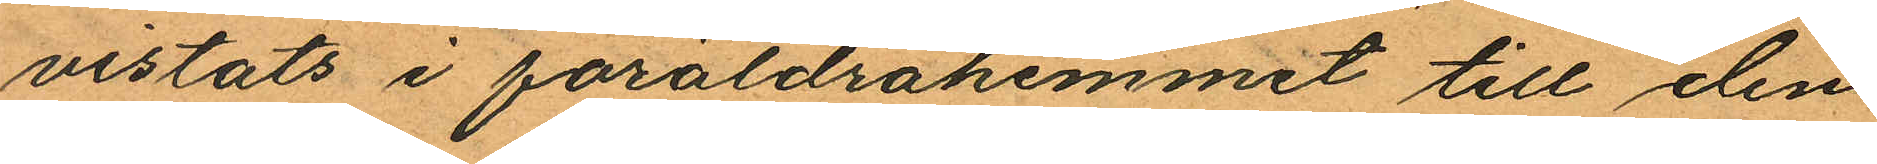vistats i föräldrahemmet till den
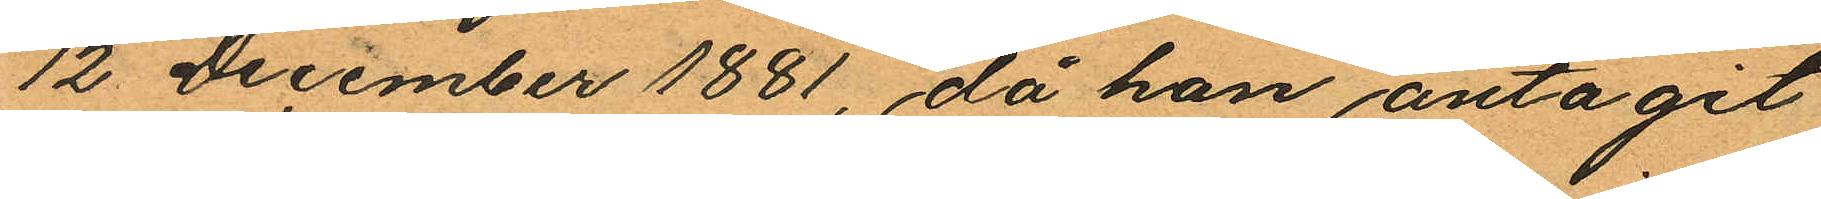12 December 1881, då han antagit
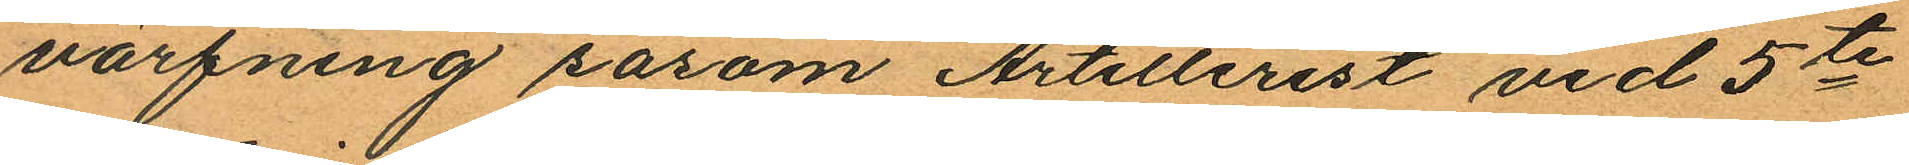värfning såsom Artillerist vid 5te
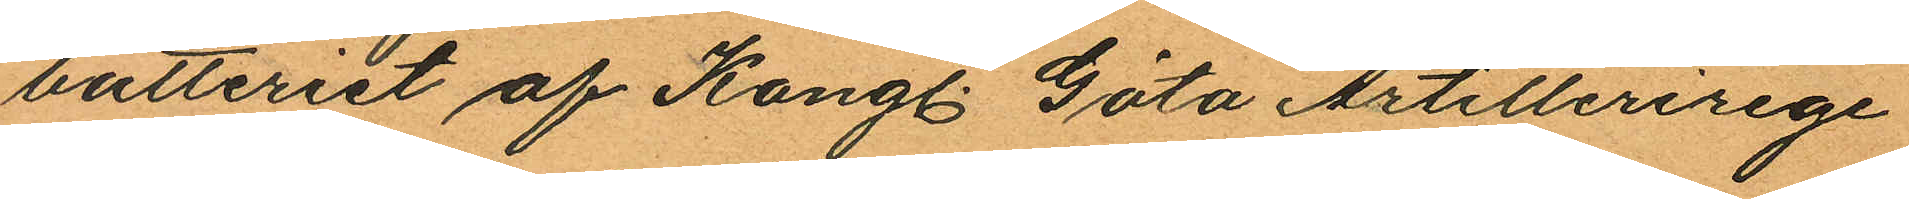batteriet af Kongl. Göta Artillerirege
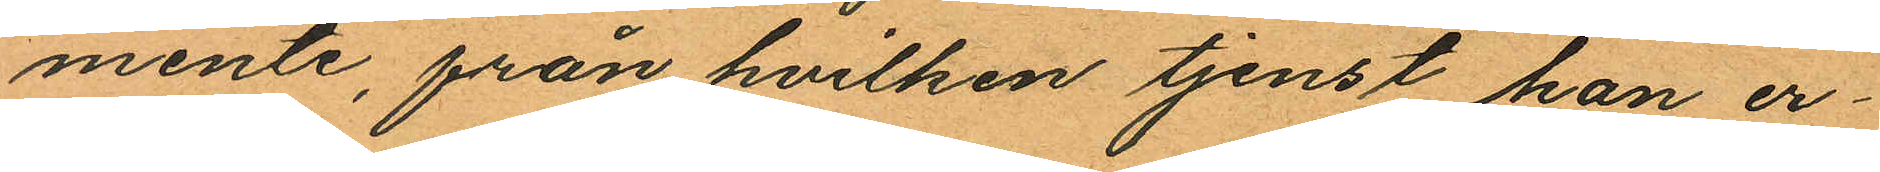mente, från hvilken tjenst han er¬
